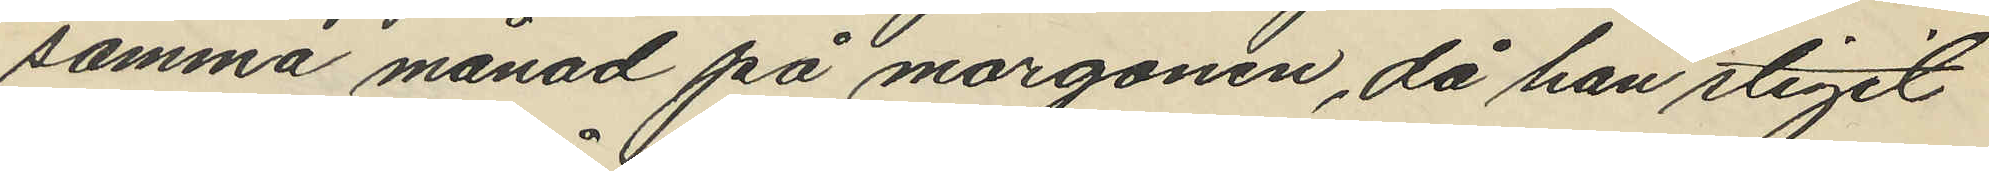samma månad på morgonen, då han stigit
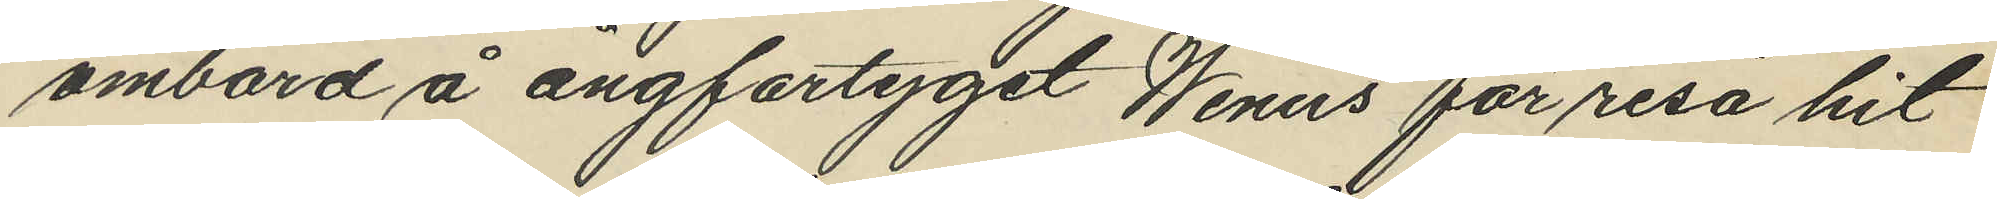ombord å ångfartyget Wenus för resa hit
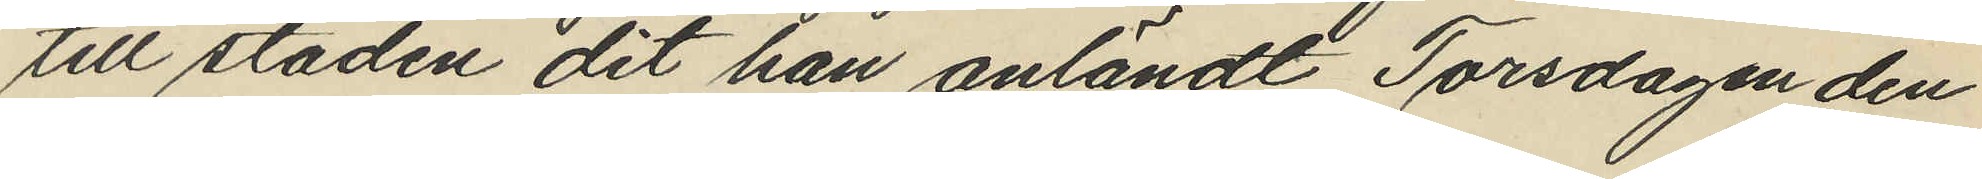till staden dit han anländt Torsdagen den
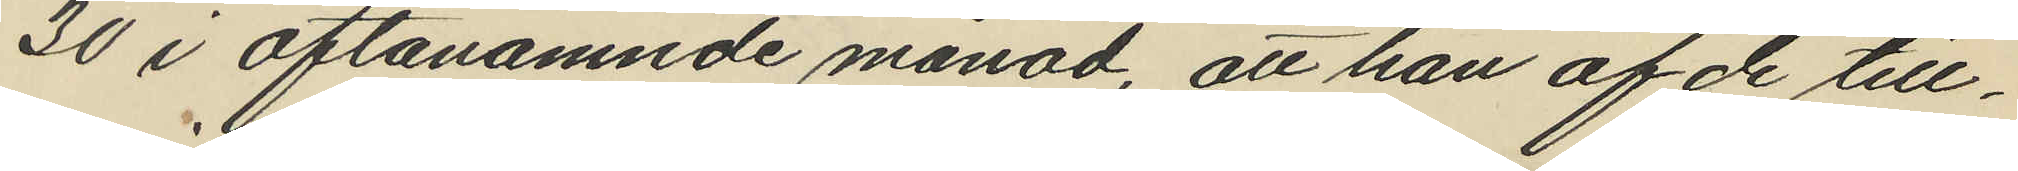30 i oftanämnde månad, att han af de till¬
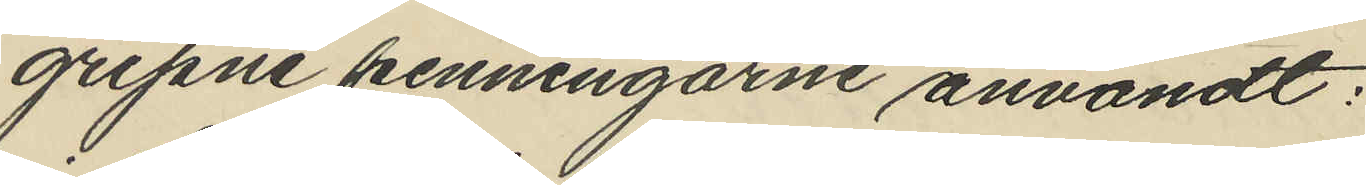gripne penningarne användt:
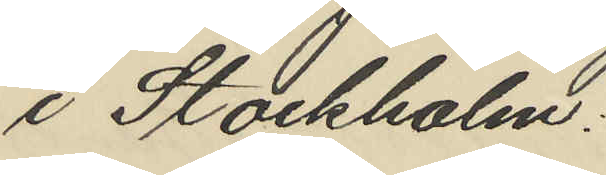i Stockholm:
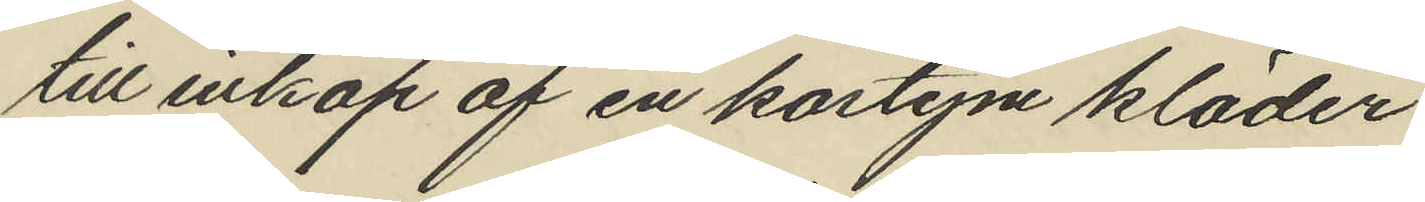till inköp af en kostym kläder
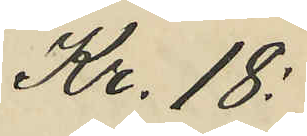Kr. 18:
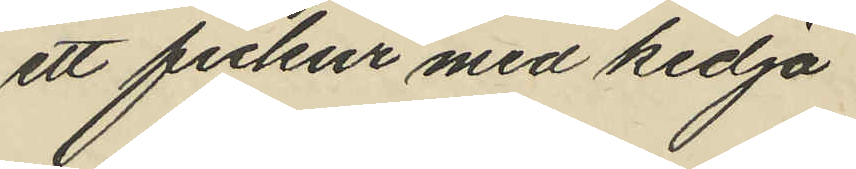ett fickur med kedja
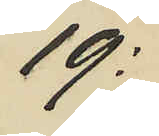19:
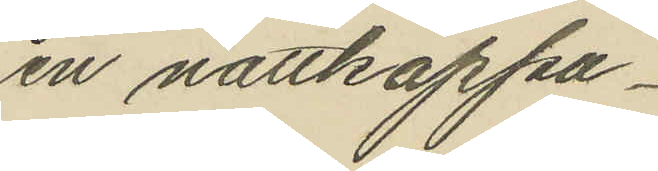en nattkappa
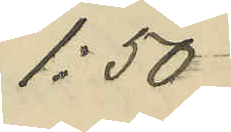1:50
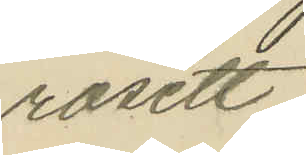rosett
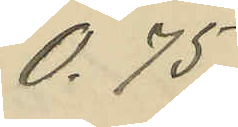0.75.
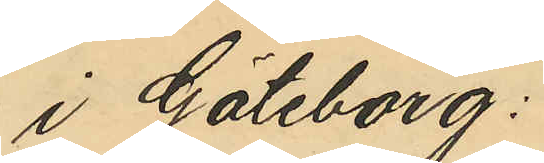i Göteborg:
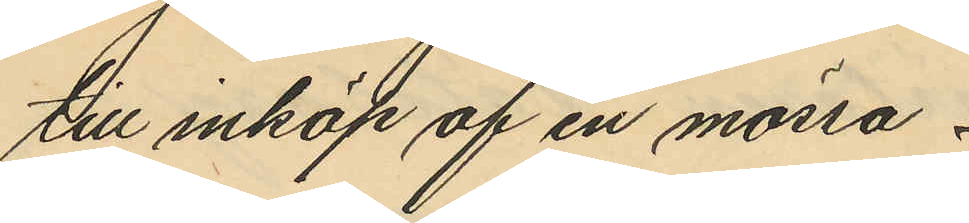till inköp af en mössa
